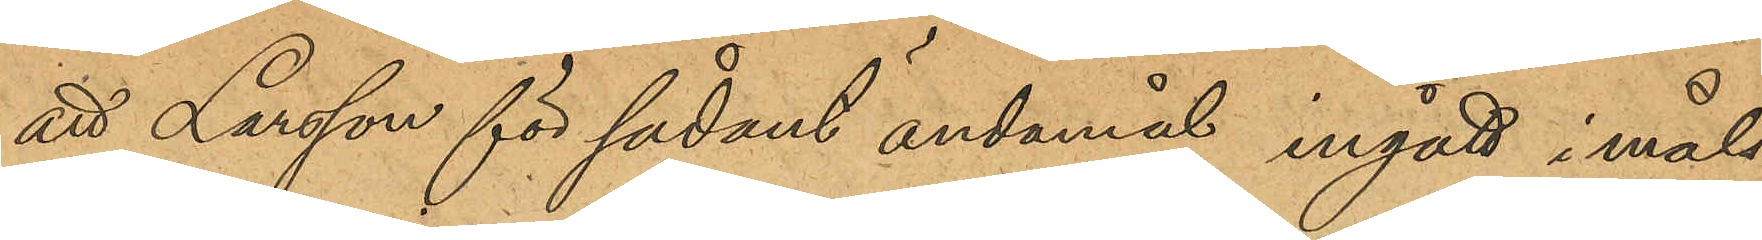att Larsson för sådant ändamål ingått i måls¬
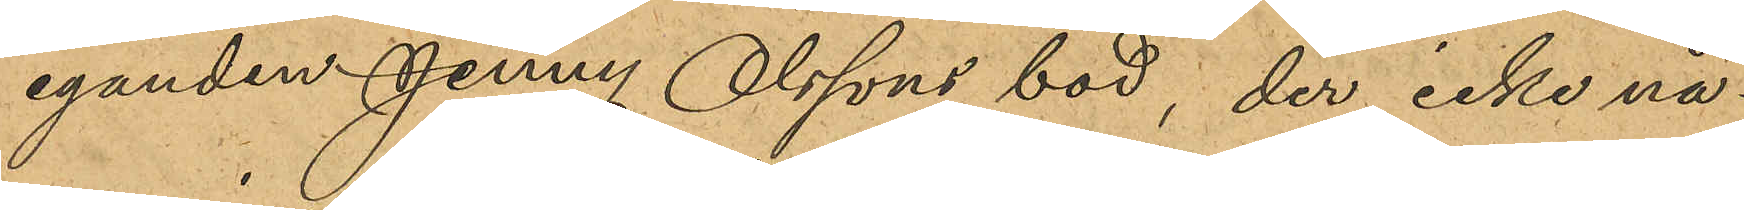eganden Jenny Olssons bod, der icke nå¬
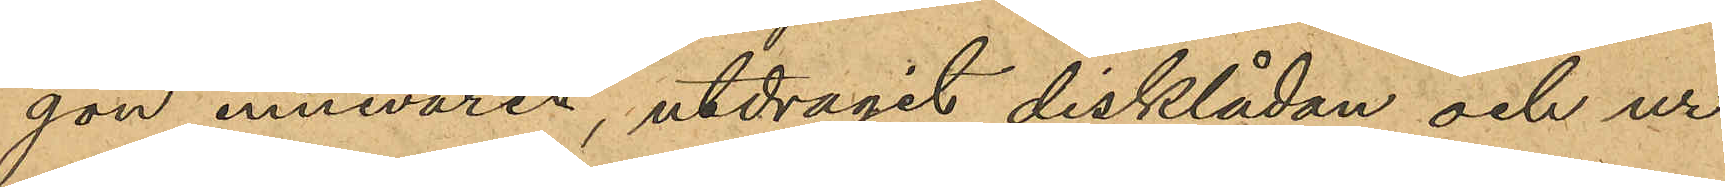gon innevarit, utdragit disklådan och ur
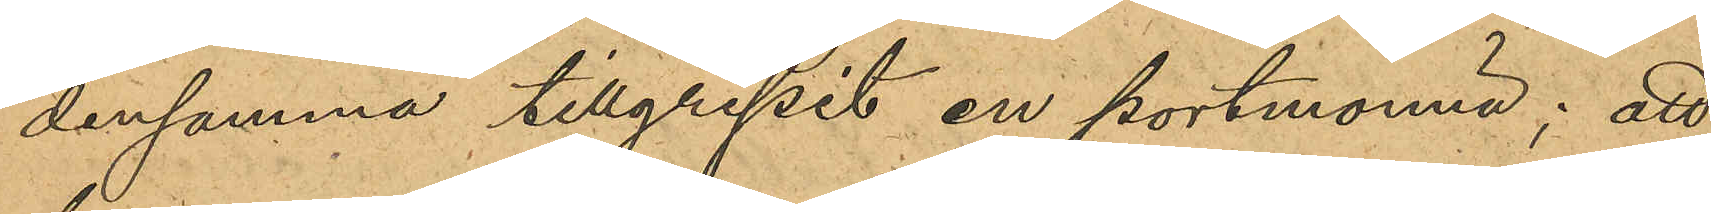densamma tillgripit en portmonnä; att
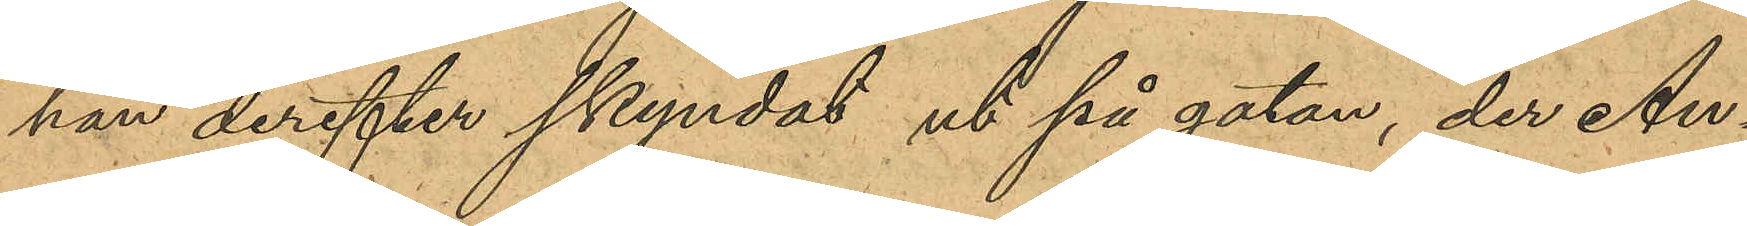han derefter skyndat ut på gatan, der An¬
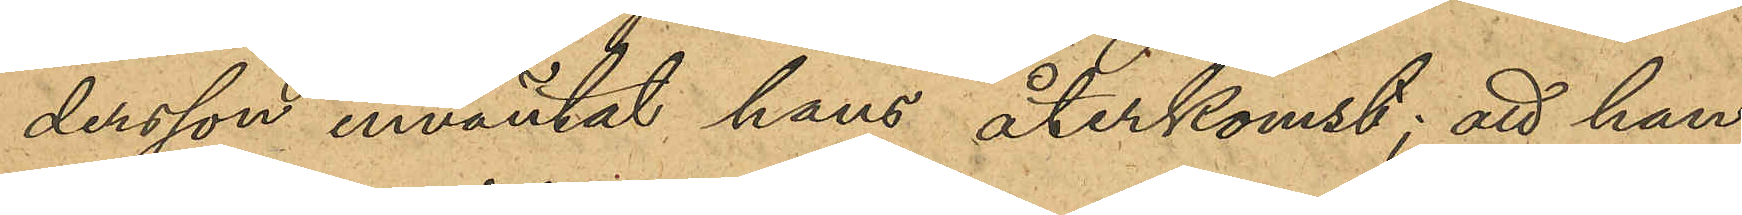dersson inväntat hans återkomst; att han
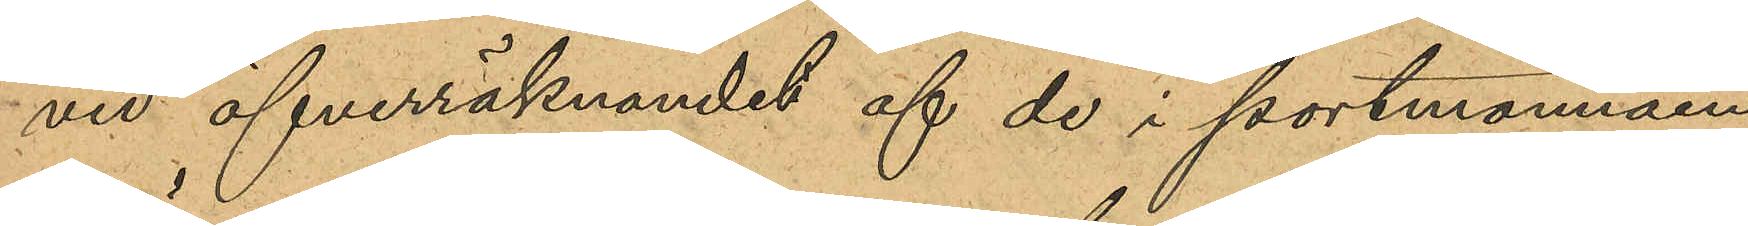vid öfverräknandet af de i portmonnäen
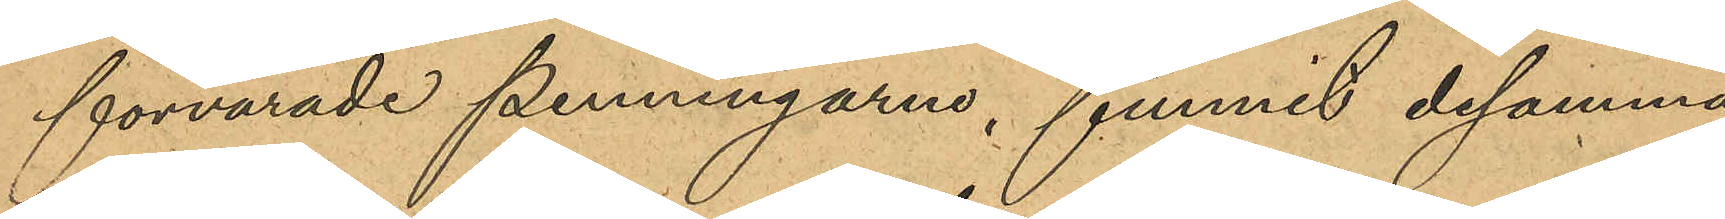förvarade penningarne, funnit desamma
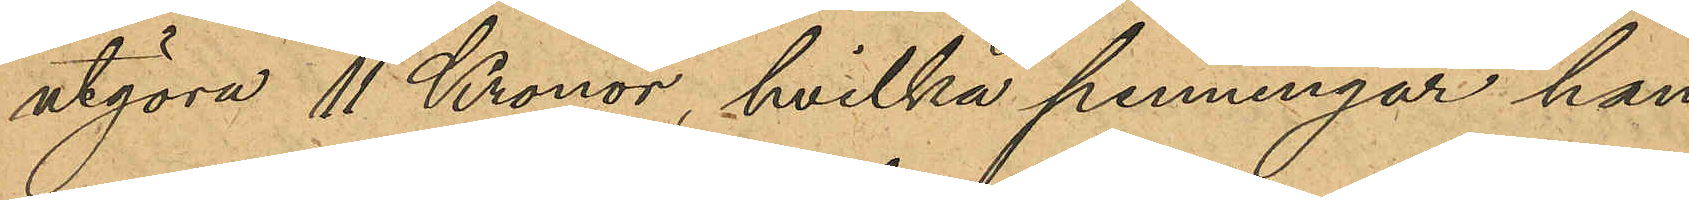utgöra 11 kronor, hvilka penningar han
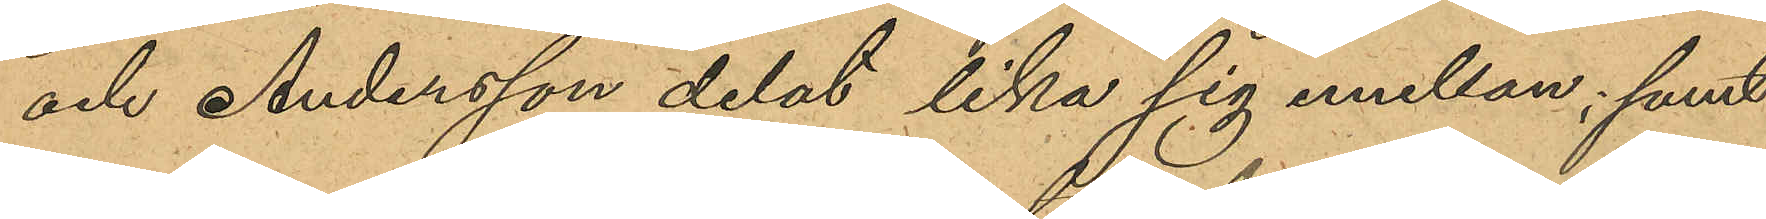och Andersson delat lika sig emellan; samt
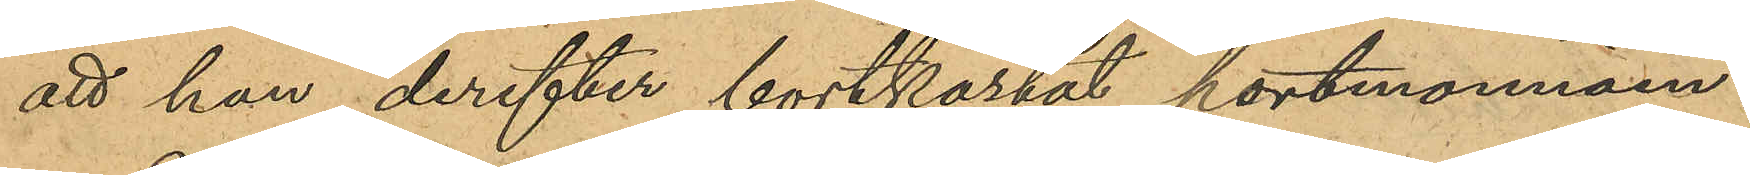att han derefter bortkastat portmonnäen.
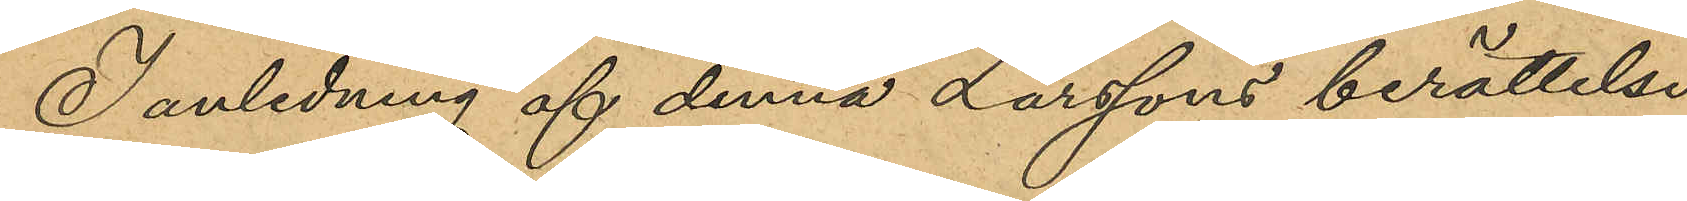I anledning af denna Larssons berättelse
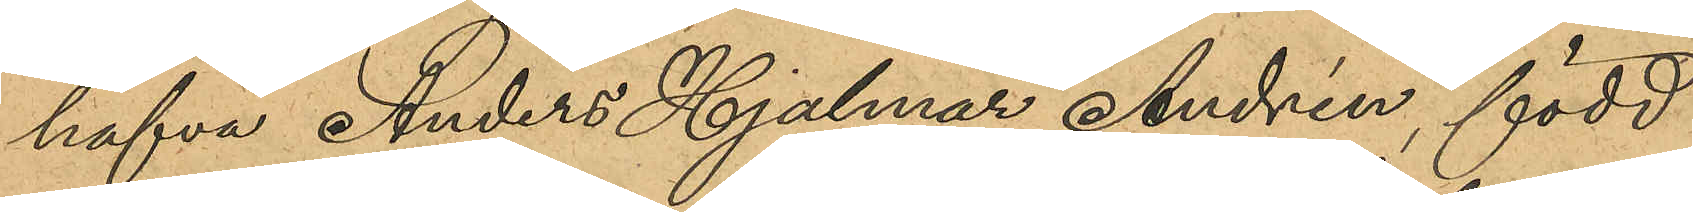hafva Anders Hjalmar Andrén, född
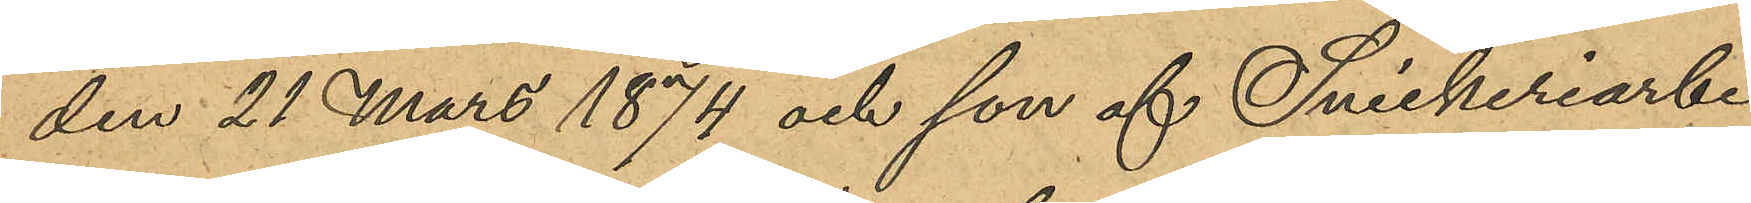den 21 mars 1874 och son af Snickeriarbe¬
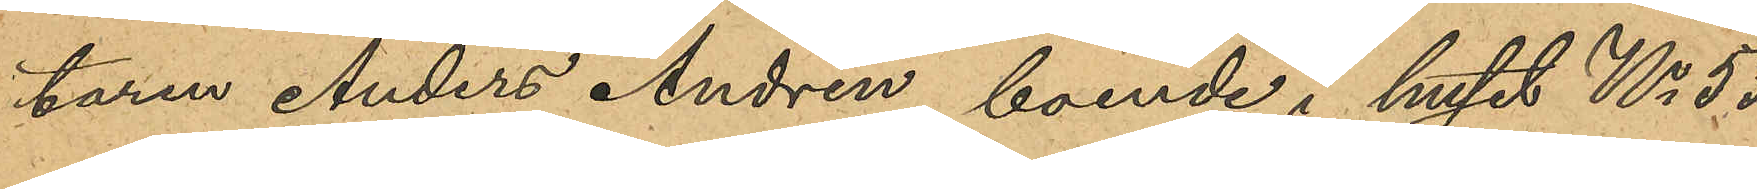taren Anders Andrén, boende i huset No 53
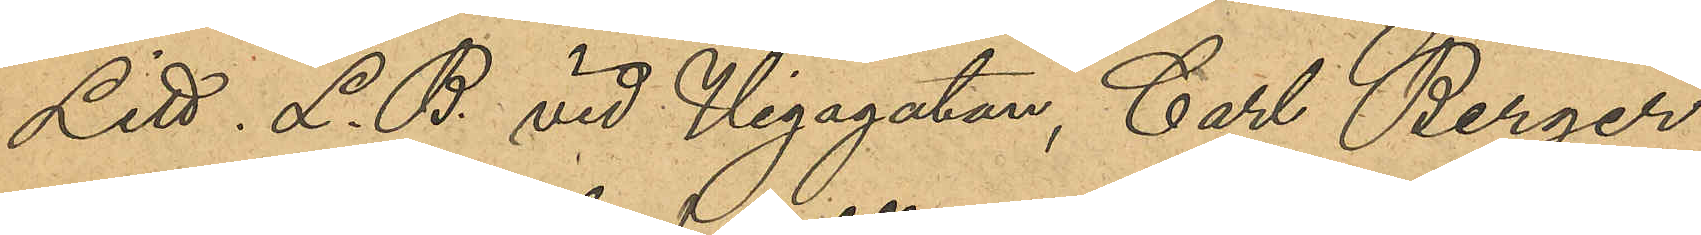Litt L. B. vid Vegagatan, Carl Berger
